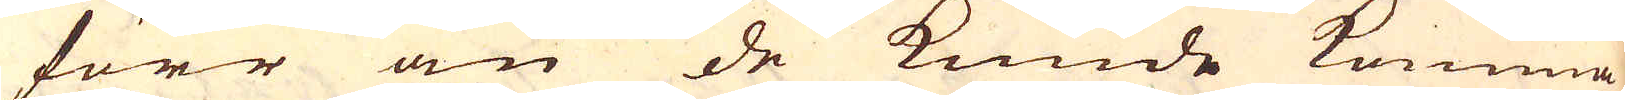förr än de kunde komma
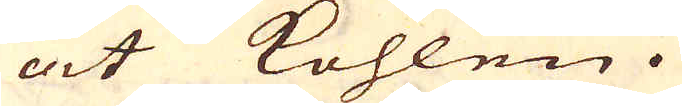åt kohlen.
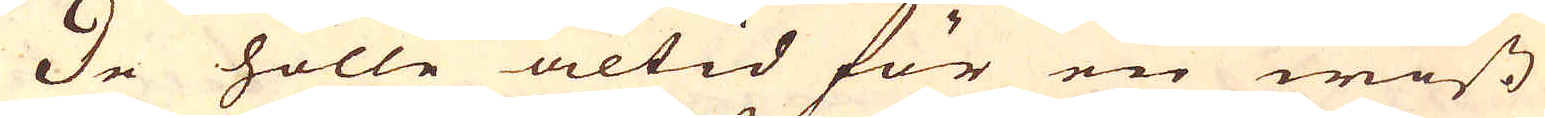De hölle altid för en wiss
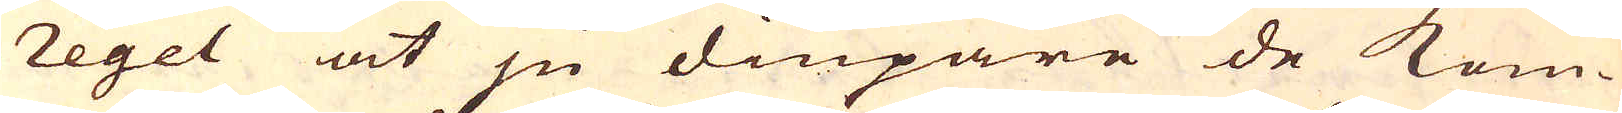regel at ju diupare de kom-
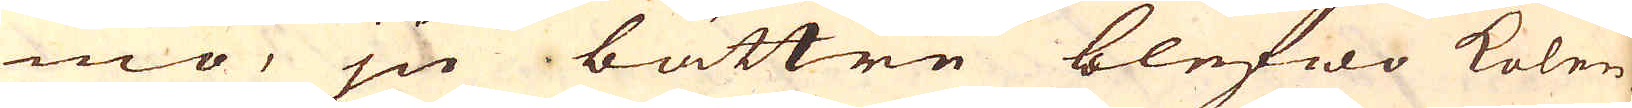mo, ju bättre blefwo kolen,
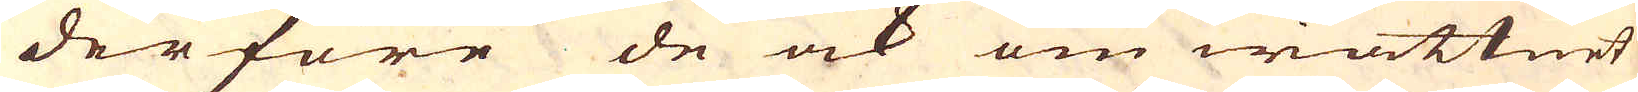derföre de ock om wattnet
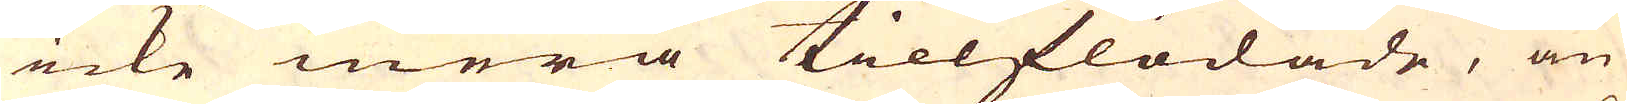icke mera tillflödade, än
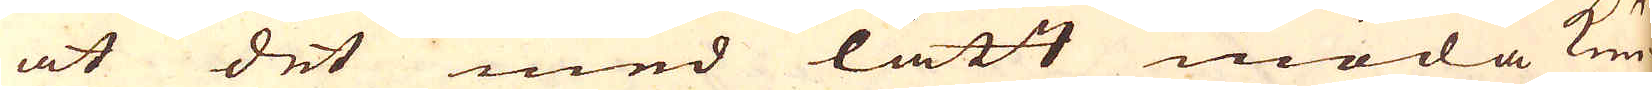at det med lätt möda kun-
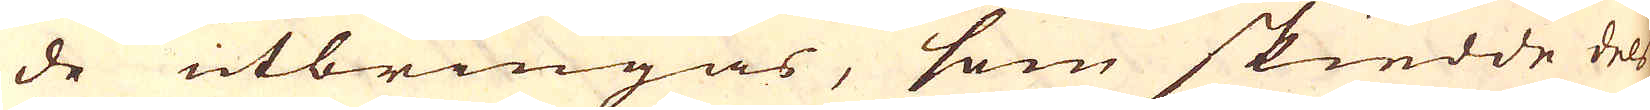de utbringas, som skiedde dels
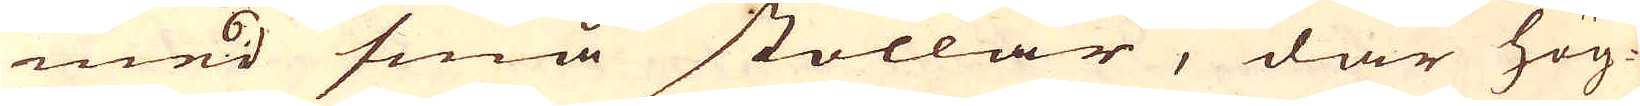med små stollar, där hög-
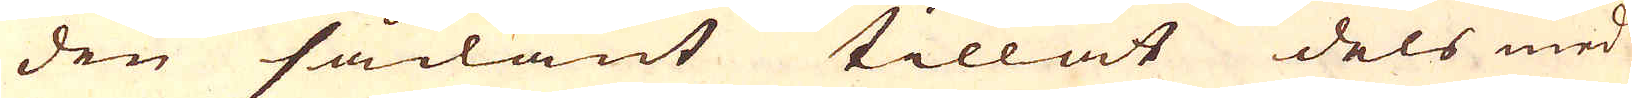den sådant tillät dels med
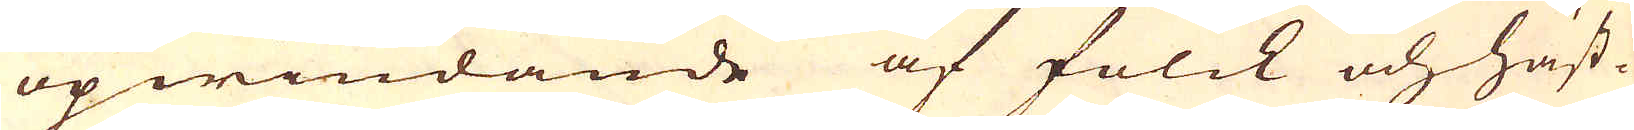opwindande af folck och häst-
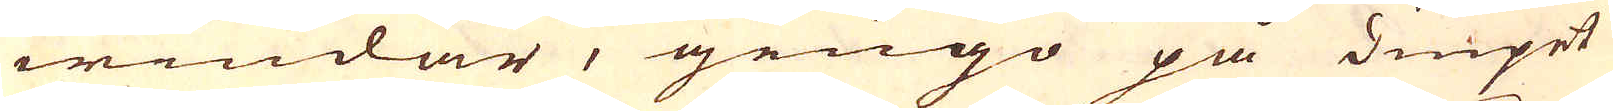windar, gingo på diupet
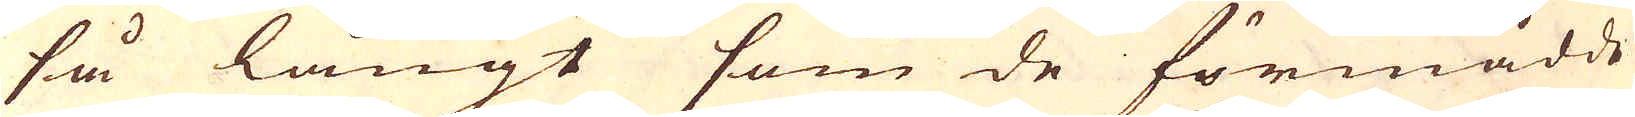så långt som de förmådde
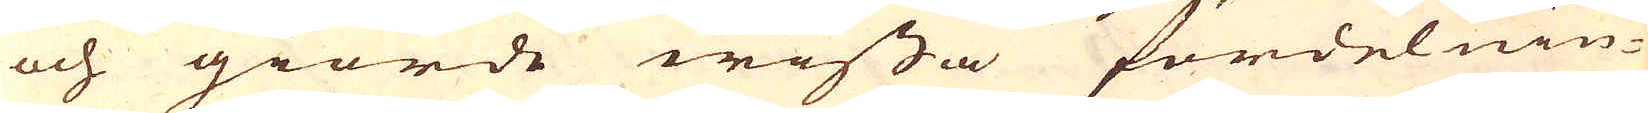och giorde wissa fördelnin-
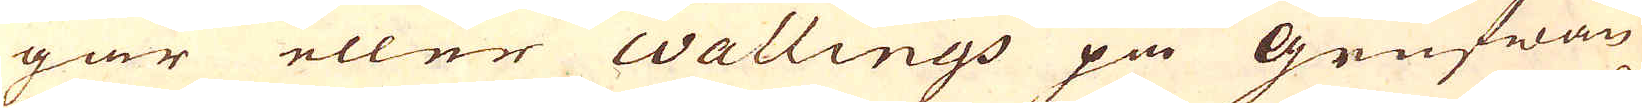gar eller Wallings på Grufwan
